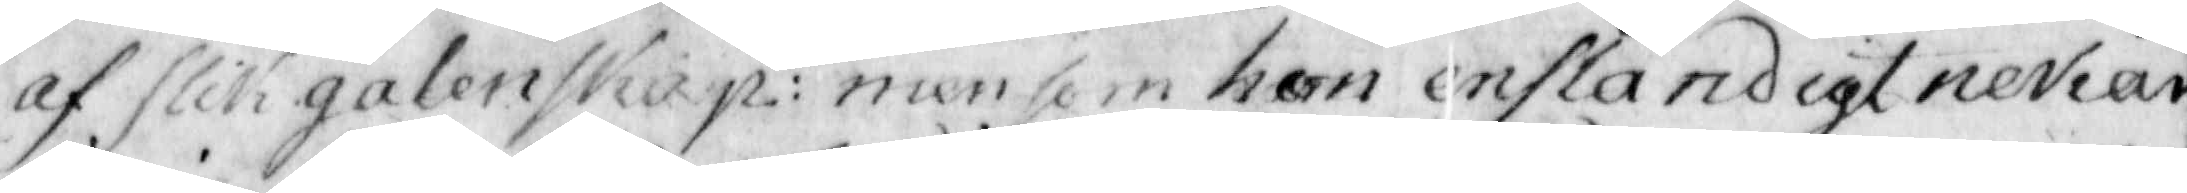af slick galenskap: men som hon enständigt nekar
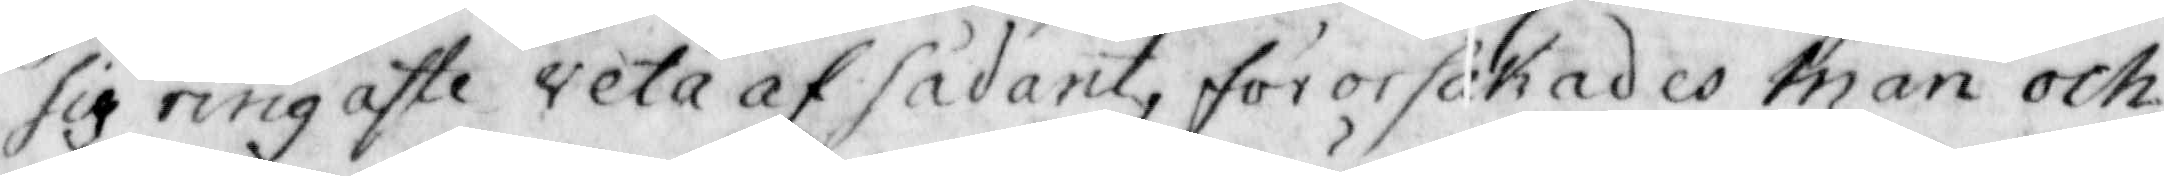sig ringaste veta af sådant, förorsakades man och
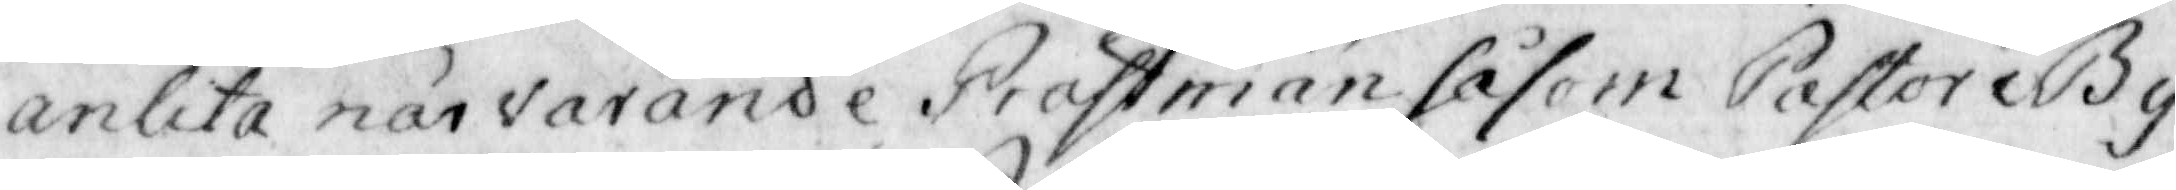anlita närvarande Prästmän såsom Pastor i By
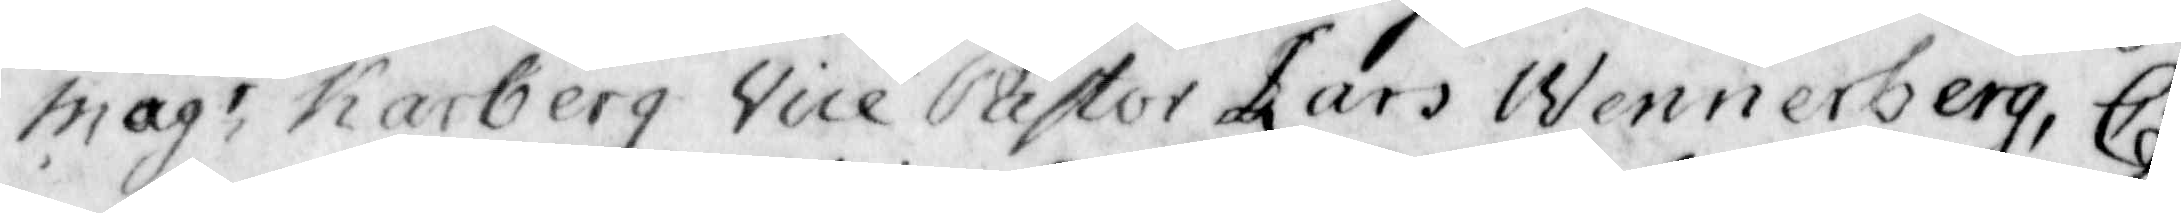magr Karberg vice Pastor Lars Wennerberg, Ca¬
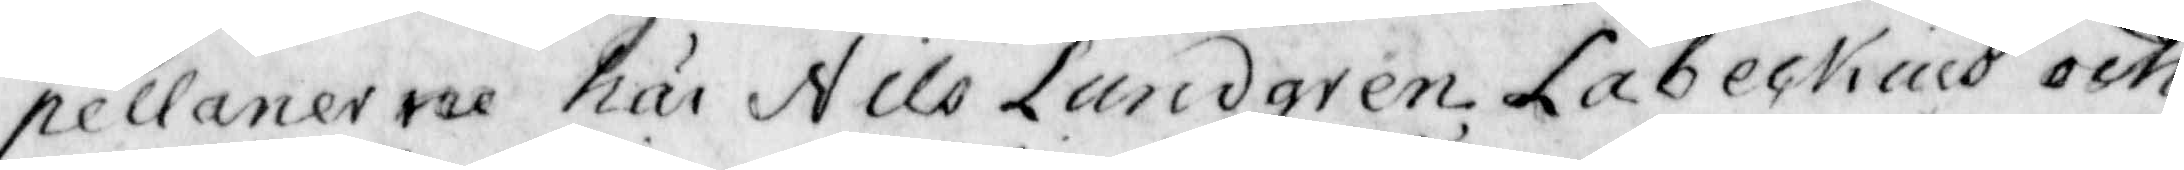pellanerne här Nils Lundgren Labeckius och
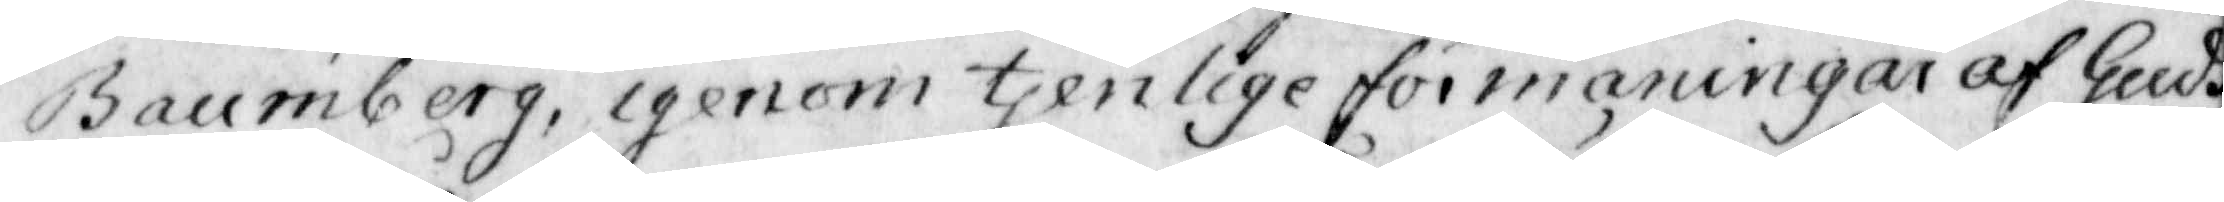Baumberg, igenom tjenlige förmaningar af Guds
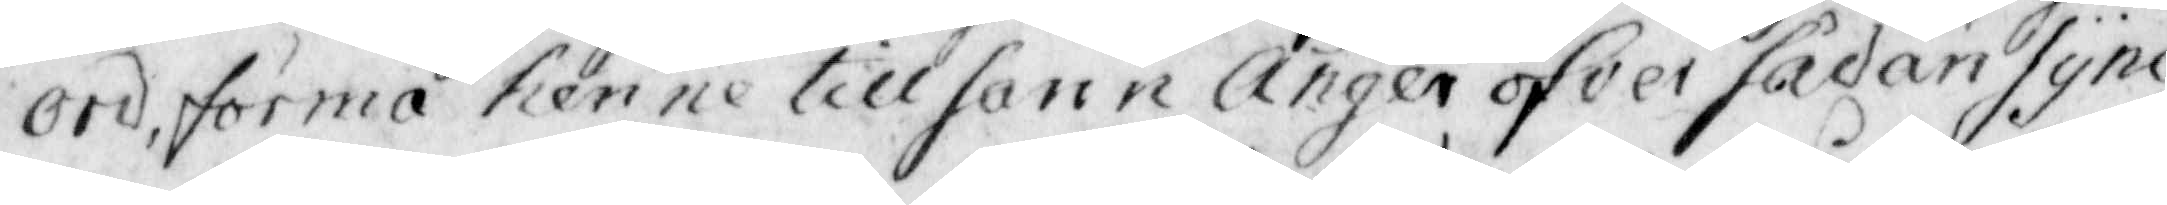ord, förmå henne till sann Ånger öfver sådan synd
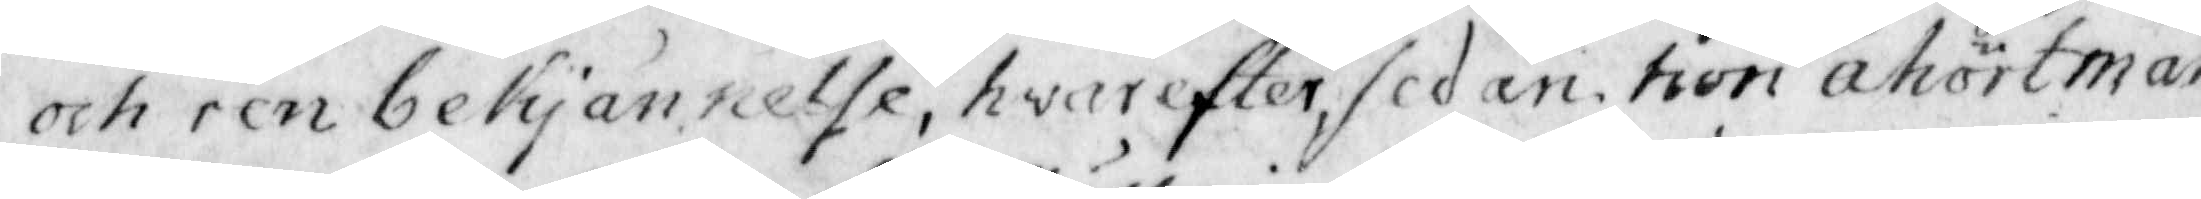och ren bekjännelse, hvarefter sedan hon åhört mån¬
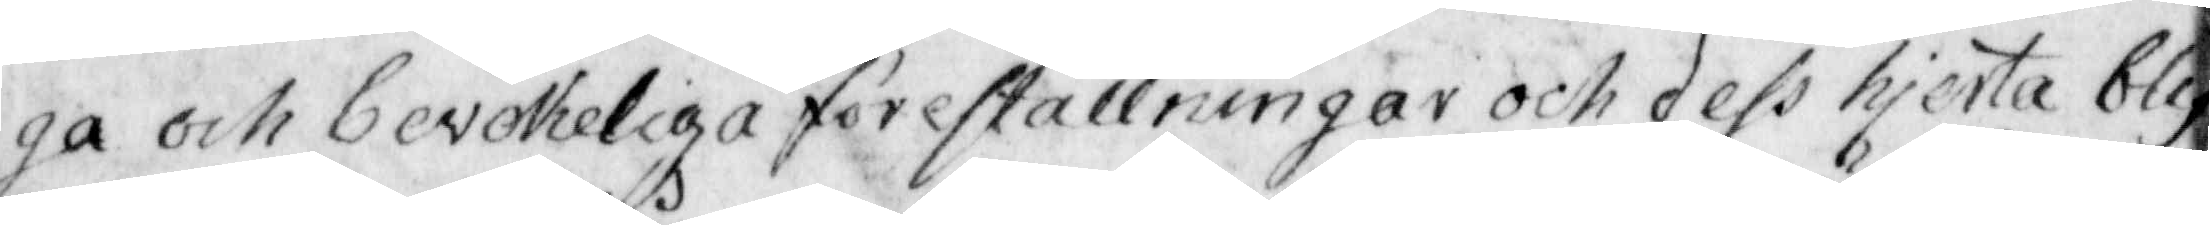ga och bevekeliga föreställningar och dess hjerta blif¬
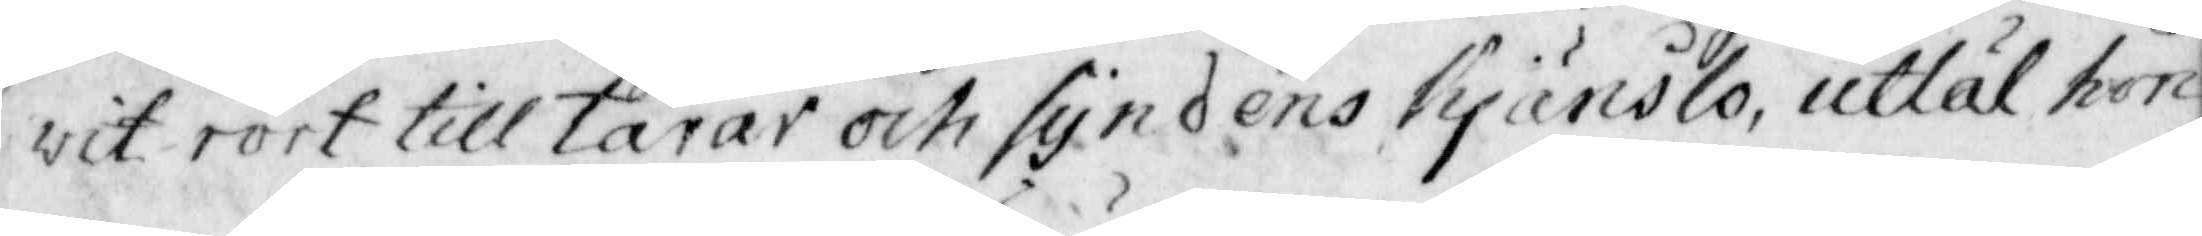vit rört till tårar och syndens kjänslo utlät hon
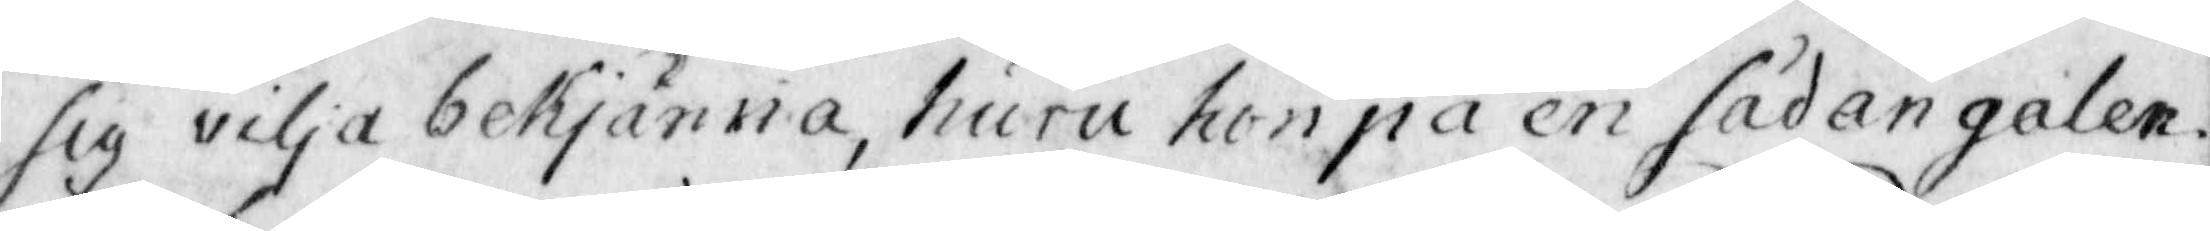sig vilja bekjänna, huru hon på en sådan galen
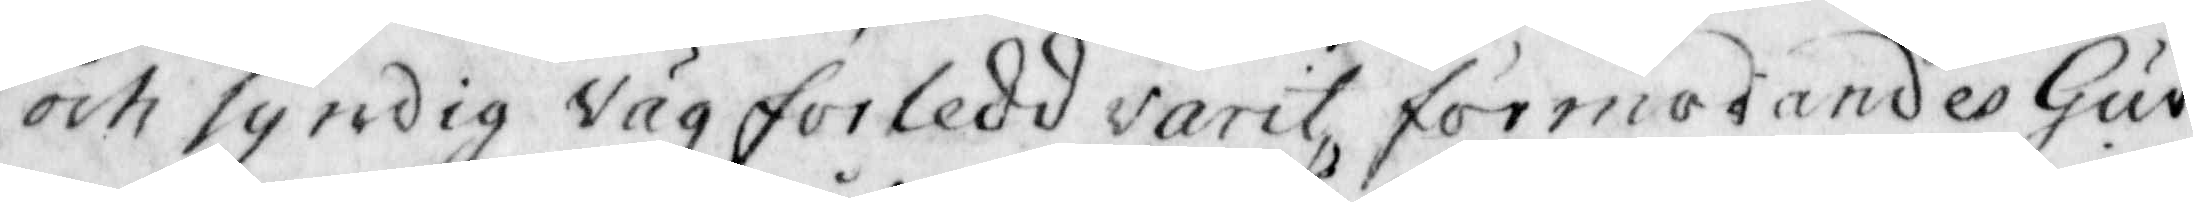och syndig väg förledd varit, förmodandes Gud
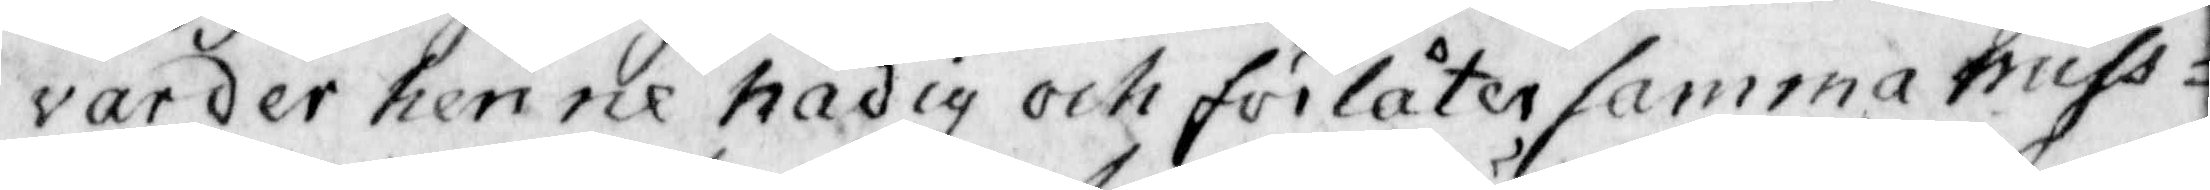varder henne nådig och förlåter samma miss¬
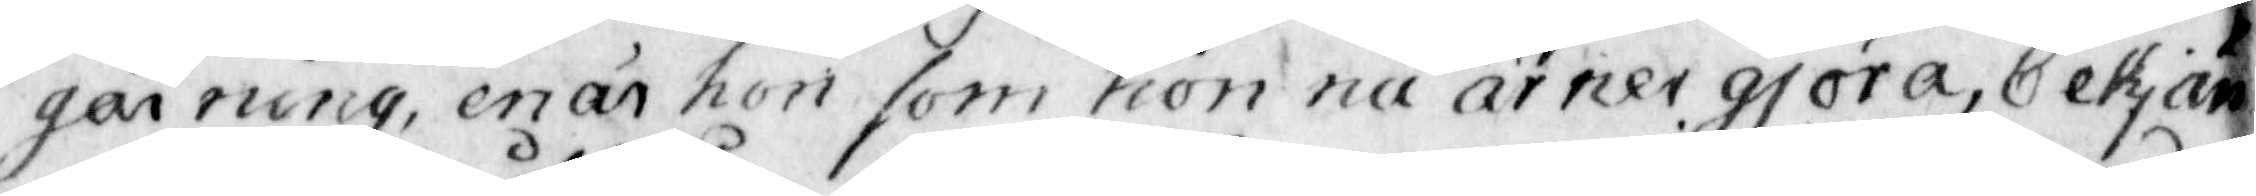gärning, enär hon som hon nu ärner gjöra, bekjen¬
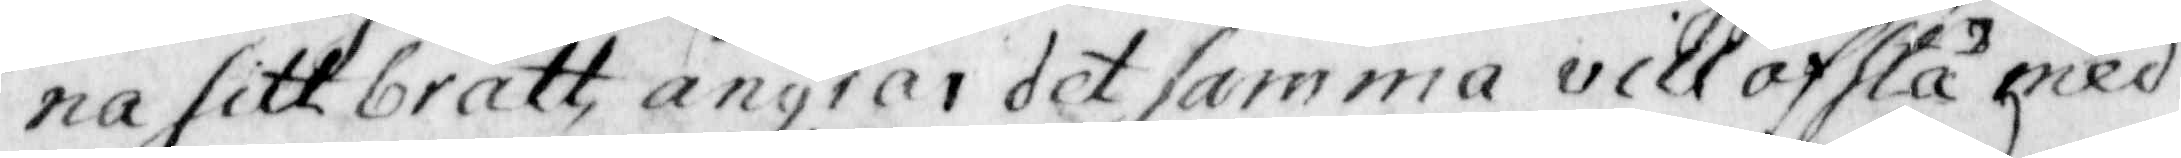na sitt brått, ångrar det samma vill afhtå med
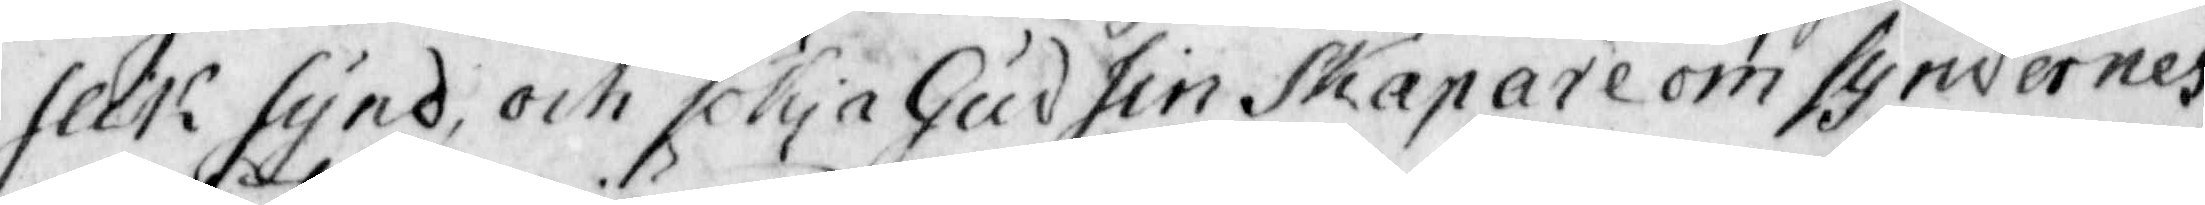slik synd och sökja Gud sin Skapare om syndernes
